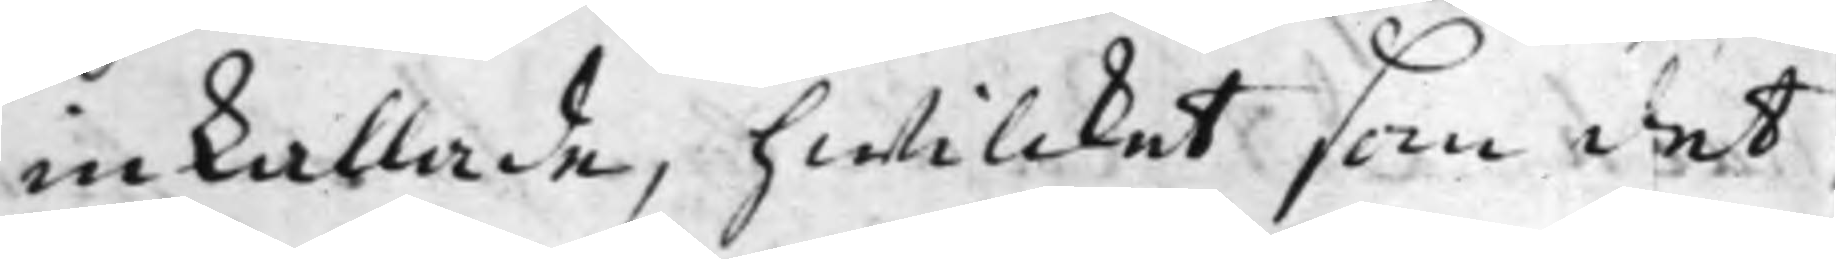inkallade, hwilcket som det
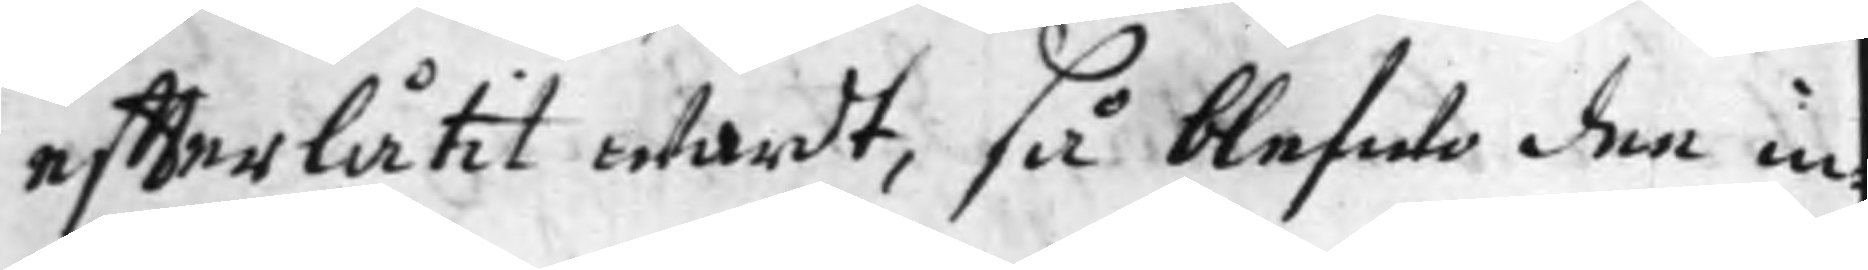effterlåtit wardt, så blefwo dee in¬
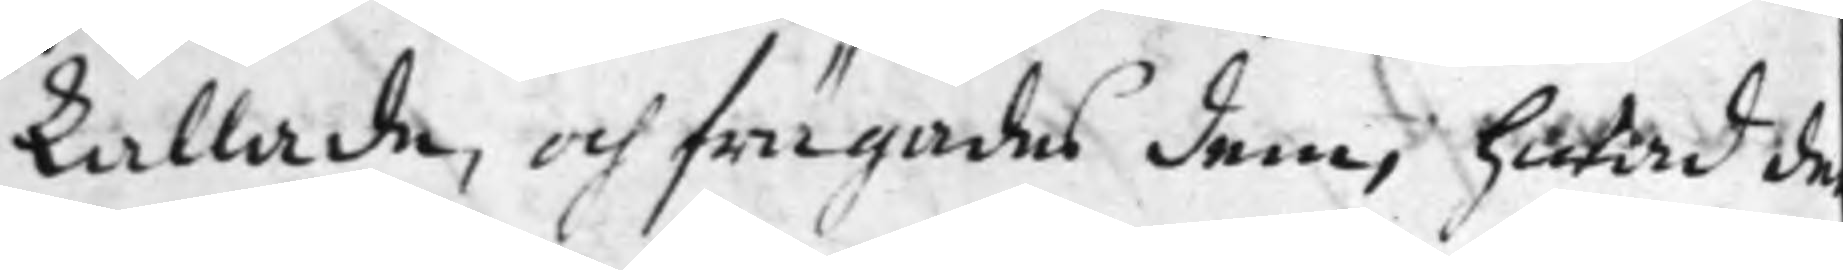kallade, och frägades dem, hwad de
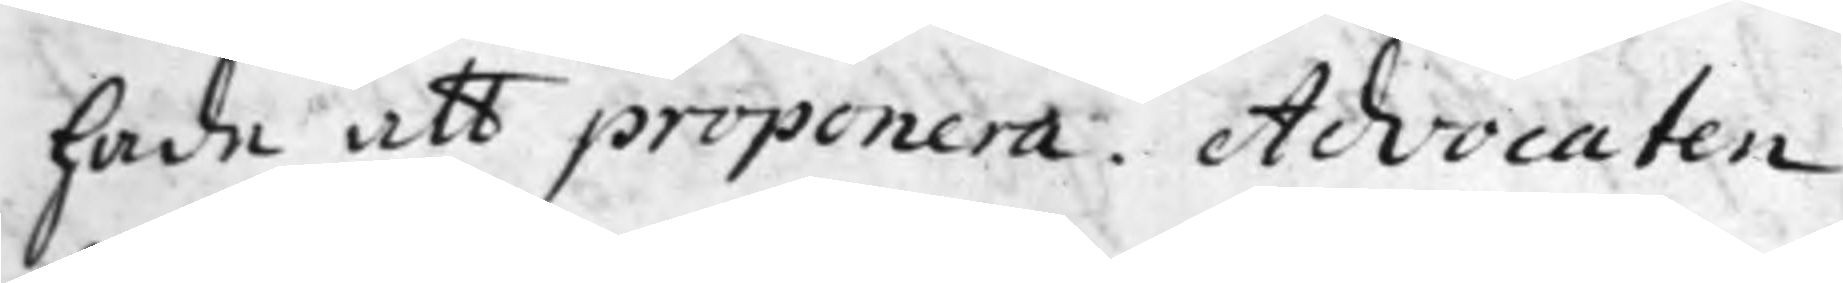hade att proponera. Advocaten
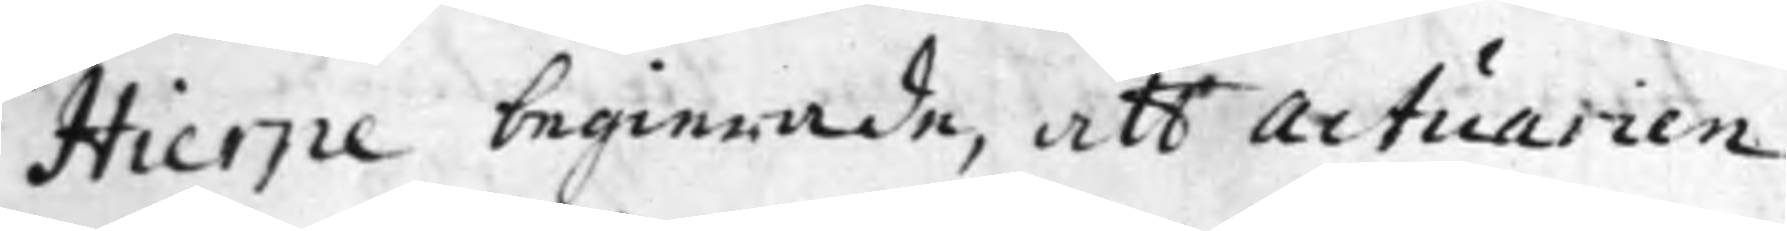Hierpe begierade, att Actuarien
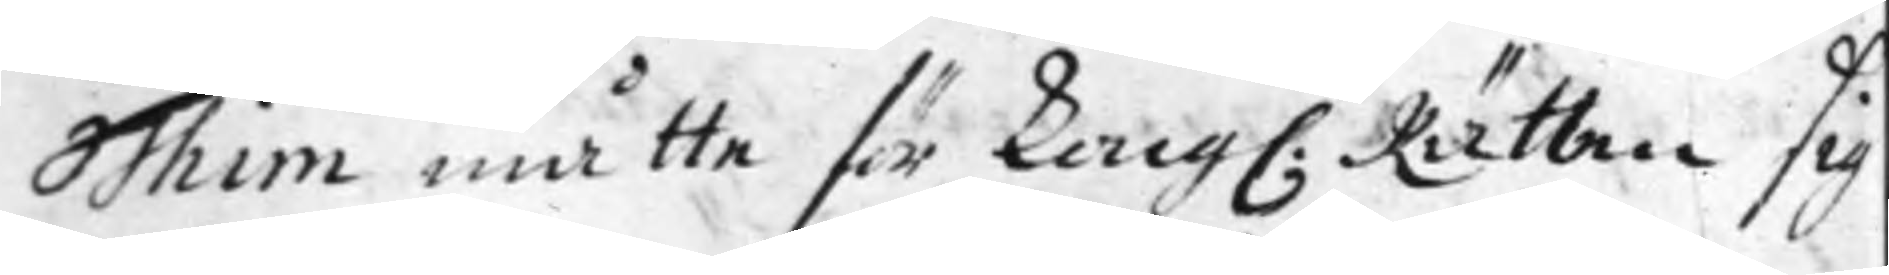Thim måtte för Kong. Rätten sig
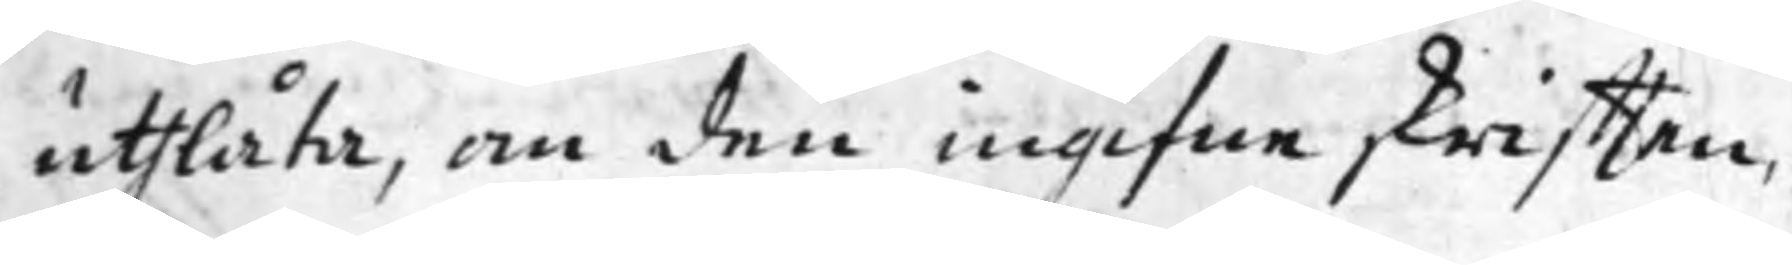uthlåta, om den ingifne skrifften,
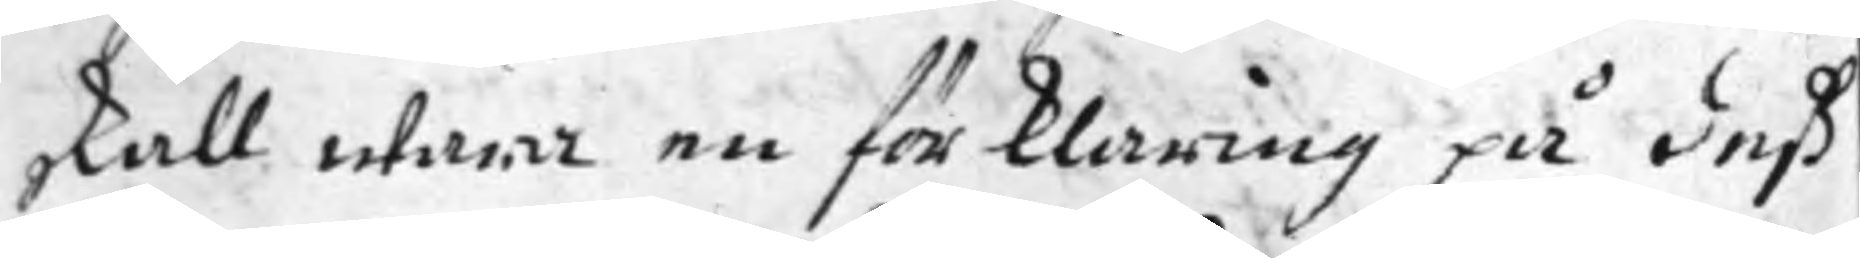skall wara en förklaring på deß
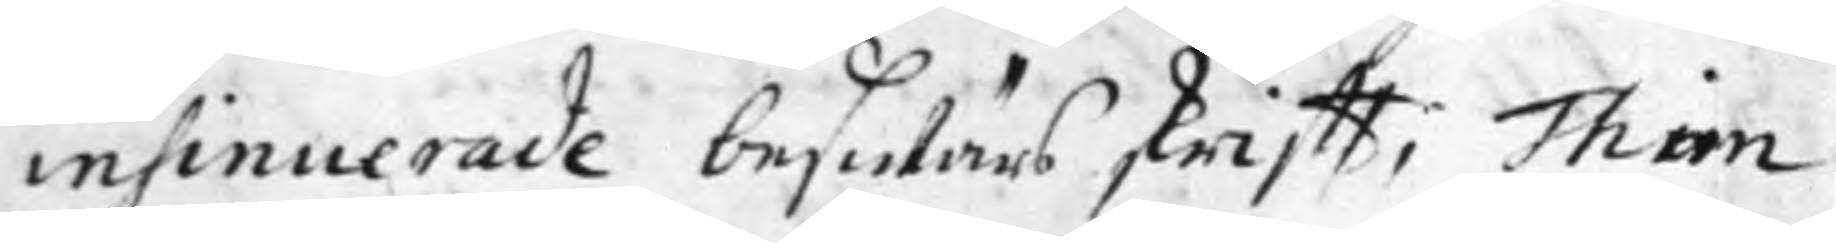insinuerade beswärs skrifft; Thim
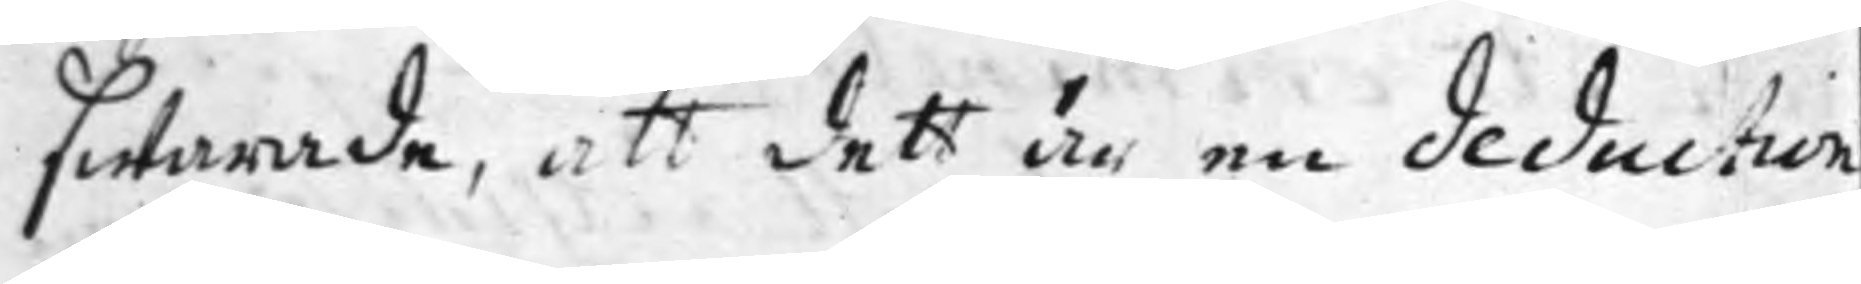swarade, att dett är en deduction
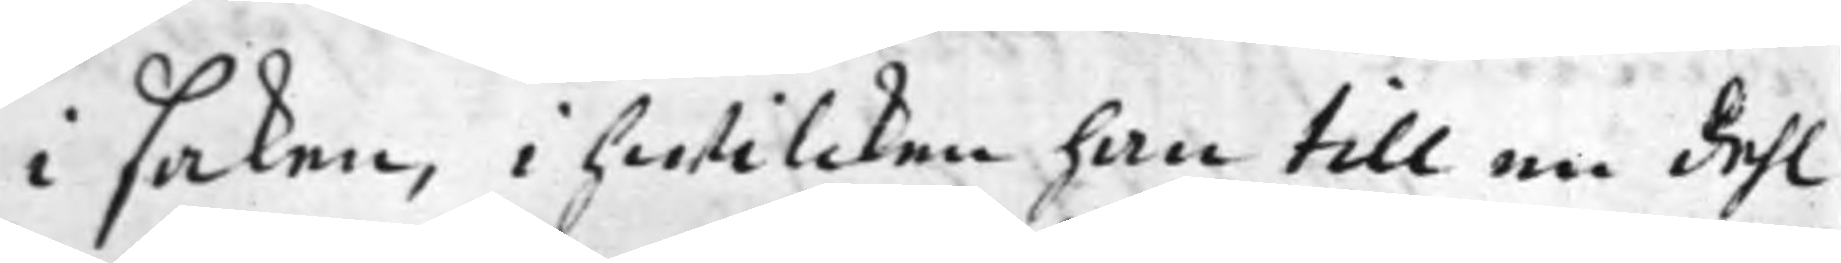i saken, i hwilcken han till en dehl
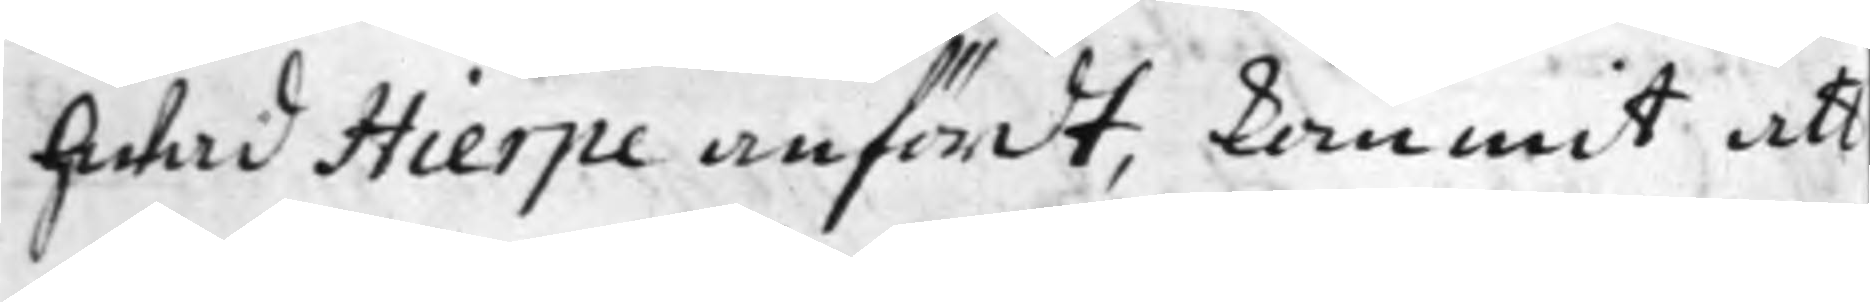hwad Hierpe anfördt, kommit att
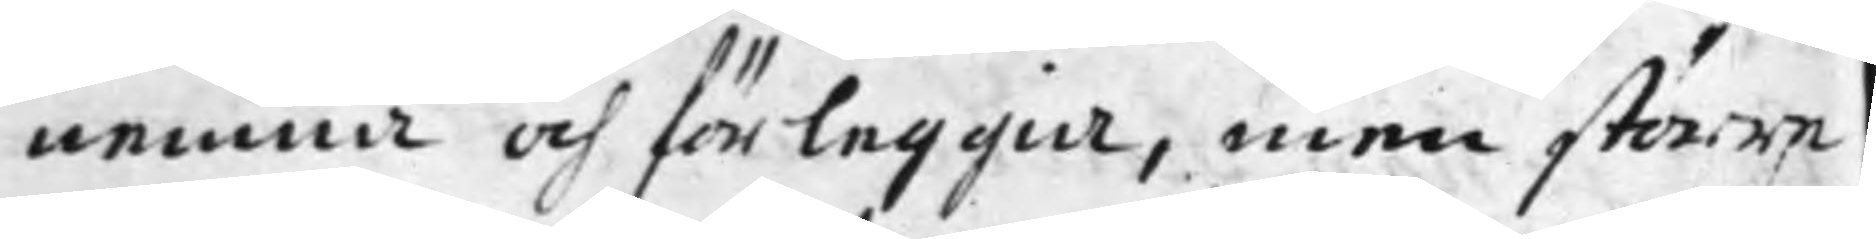nemna och förleggia, men större
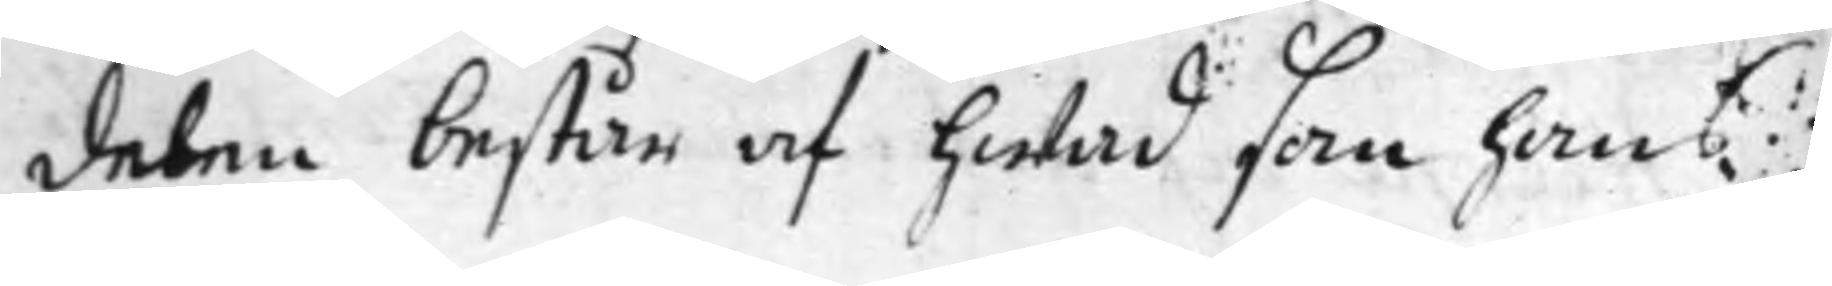delen består af hwad som hans
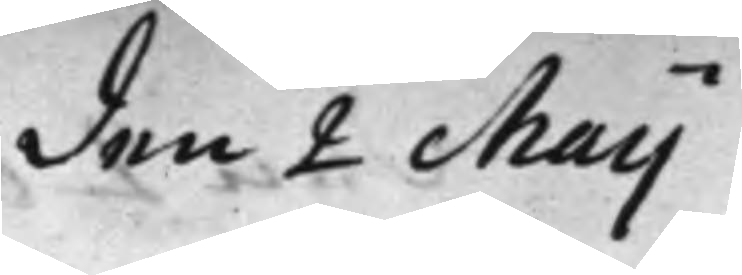den 2 Maij
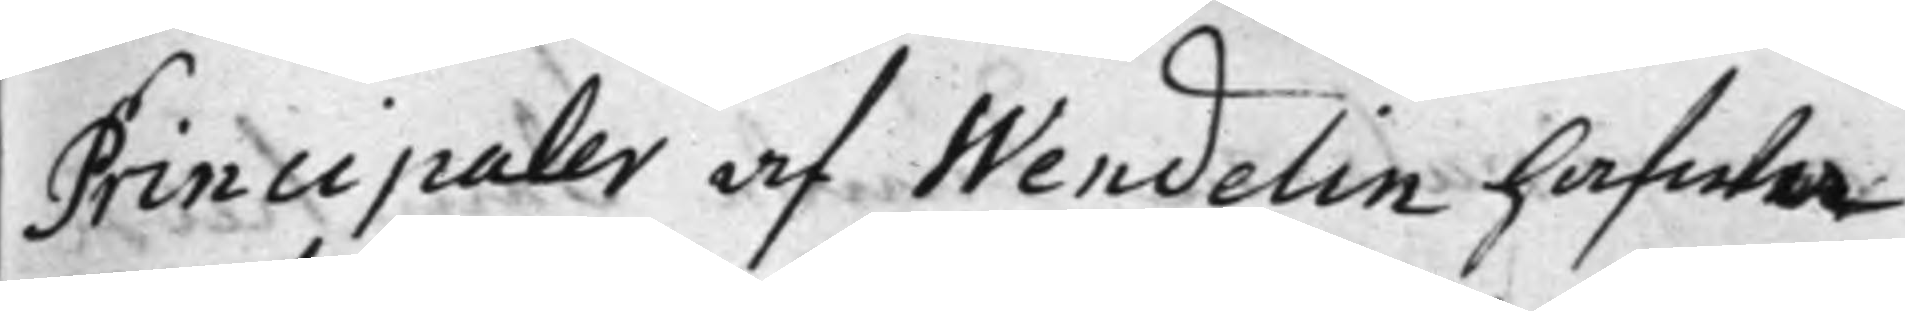Principaler af Wendelin hafwa
